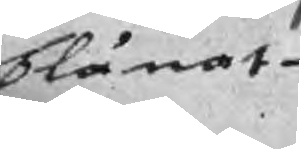blånat
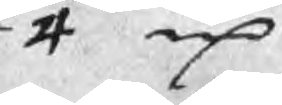4 mC
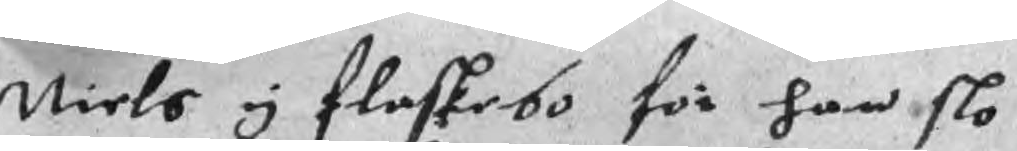Niels y flaskebo för han slo
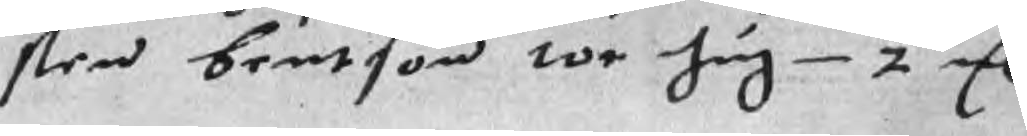sten bentson tor hug 2 mC
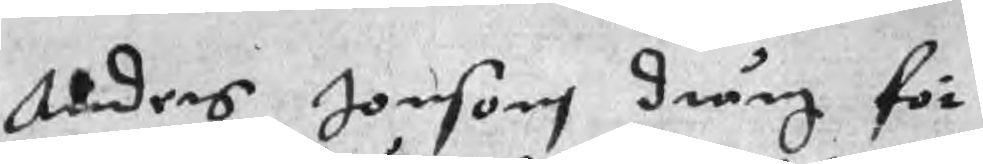Anders Jonsons dräng för
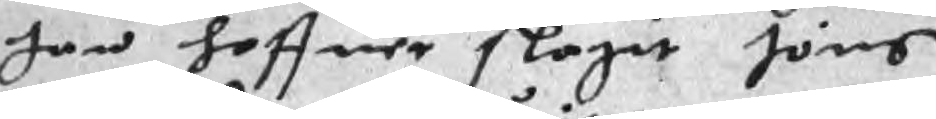han haffuer slagit Jöns
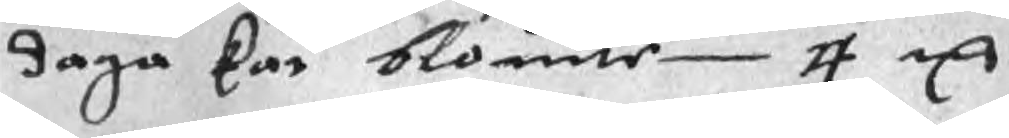daga kar blowite 4 mC
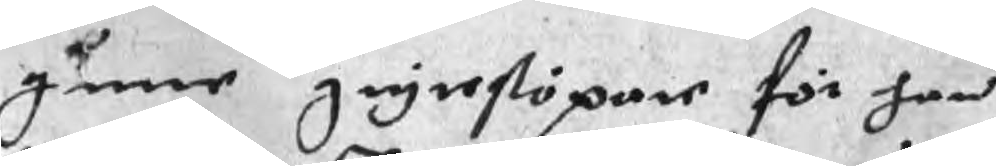gune grytestöpare för han
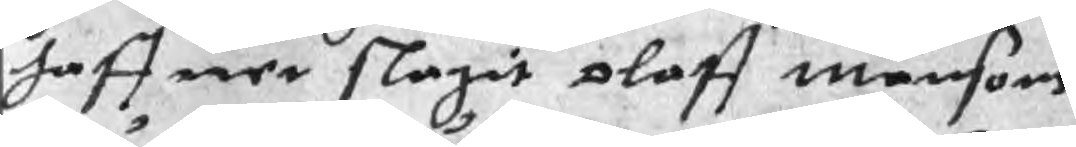haffuer slagit Oloff Månsons
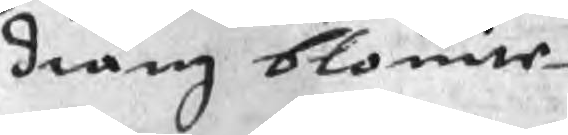dräng blouite
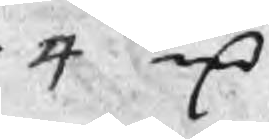4 mC
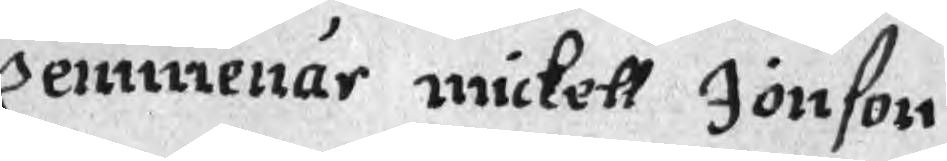Kemmenär mickell Jönson
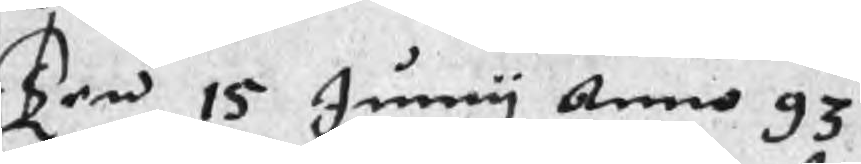Ten 15 Junny Anno 93
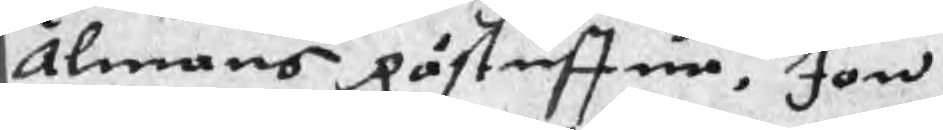Almans Råstuffua, Jon
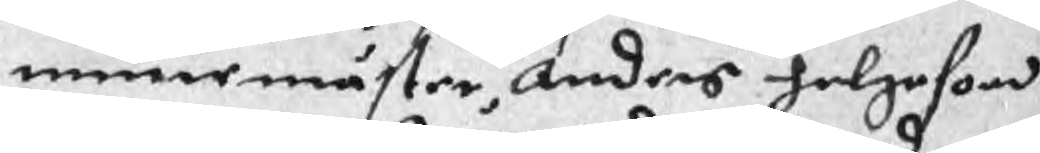muremäster, Anders helgeson
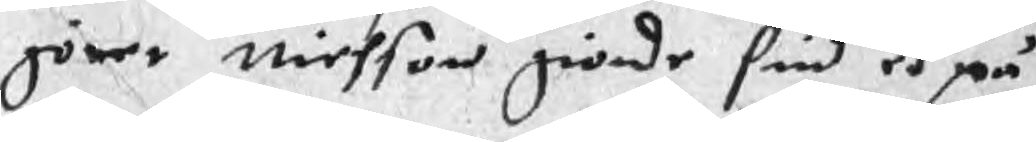görer Nielson giorde sin ed på
